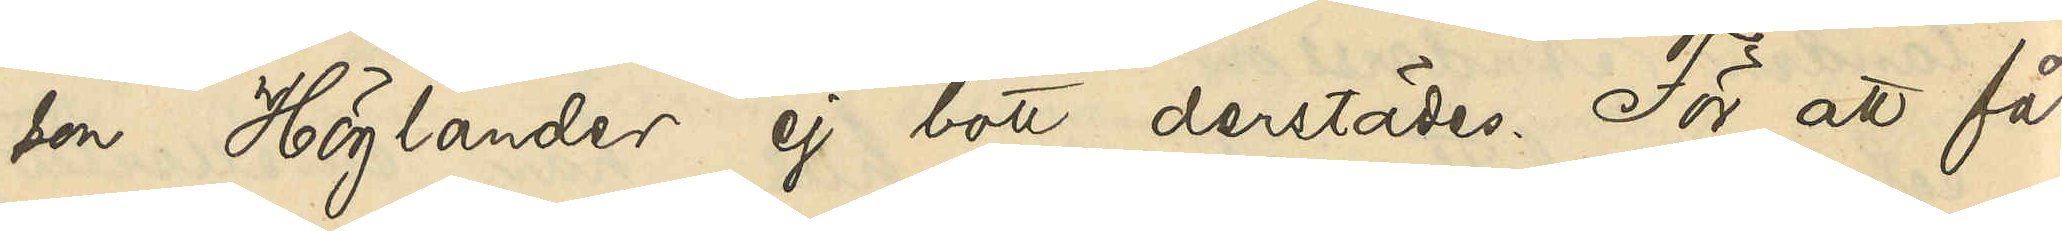son Höglander ej bott derstädes. För att få
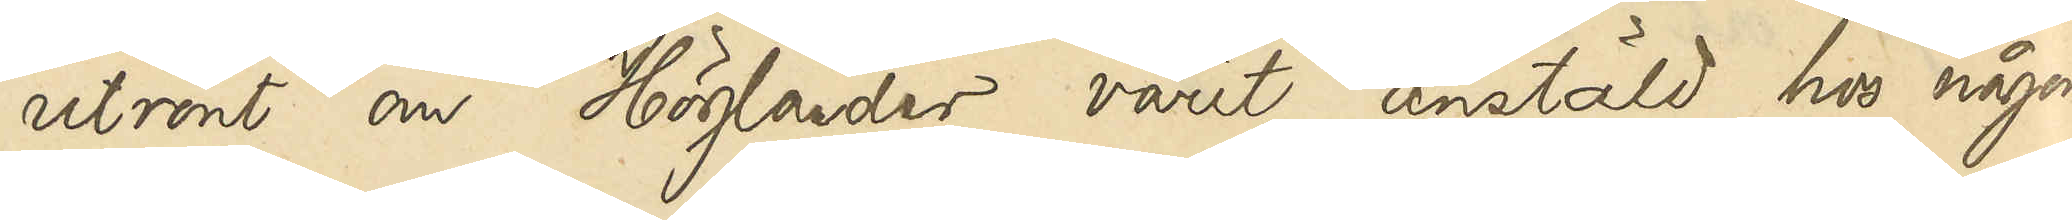utrönt om Höglander varit anstäld hos någon
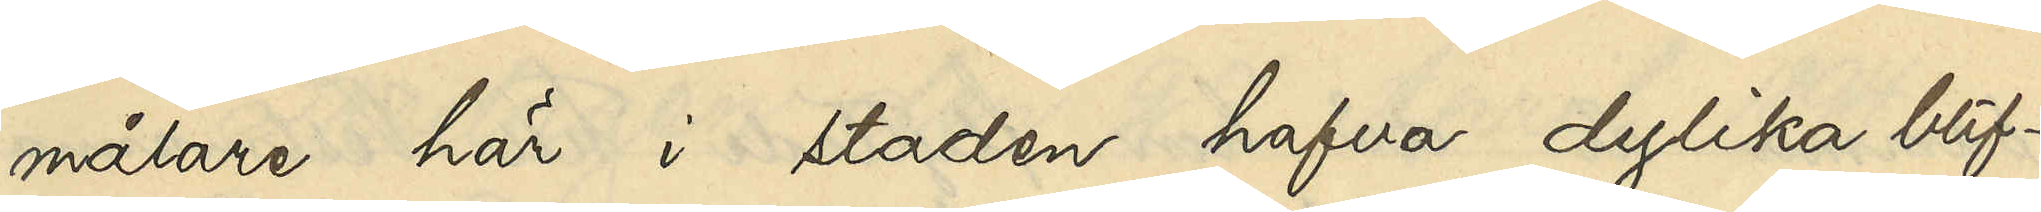målare här i staden hafva dylika blif¬
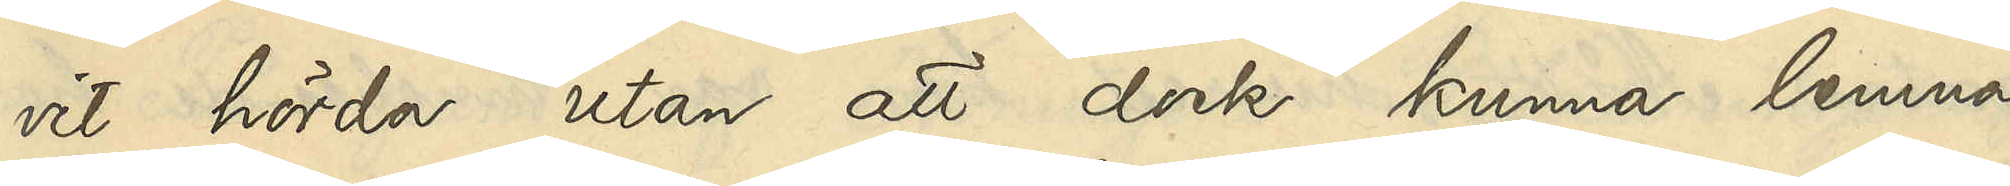vit hörda utan att dock kunna lemna
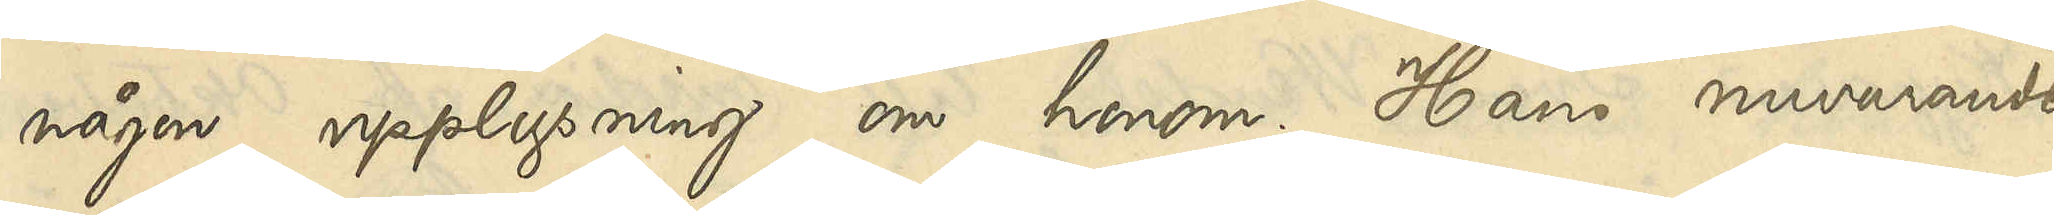någon upplysning om honom. Hans nuvarande
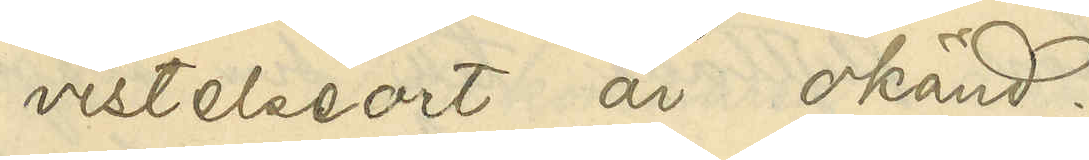vistelseort är okänd.
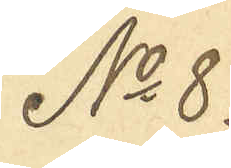No 8.
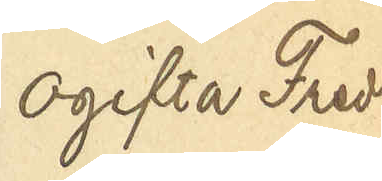Ogifta Fred¬
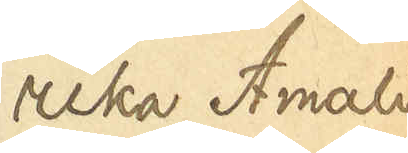rika Amalia
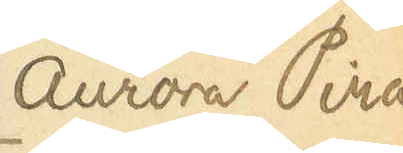Aurora Pira
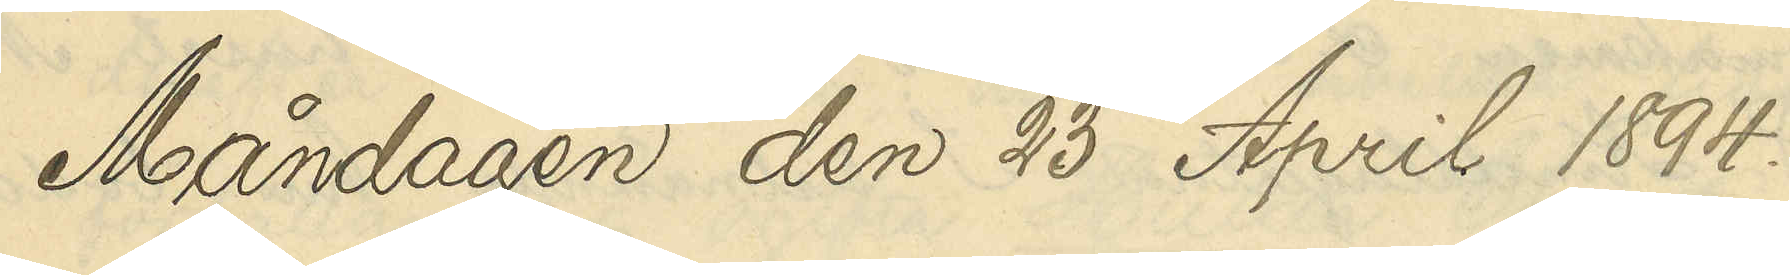Måndagen den 23 April 1894.
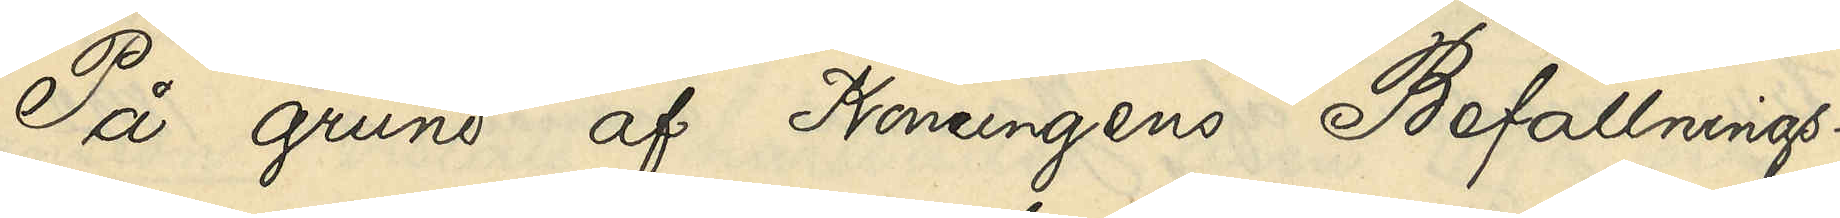På grund af Konungens Befallnings¬
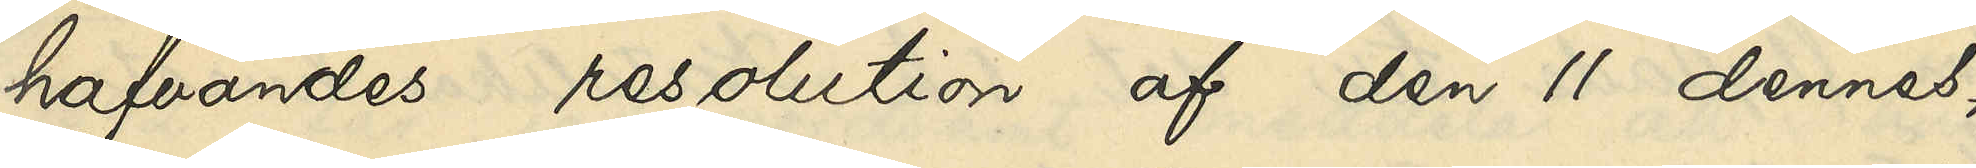hafvandes resolution af den 11 dennes,
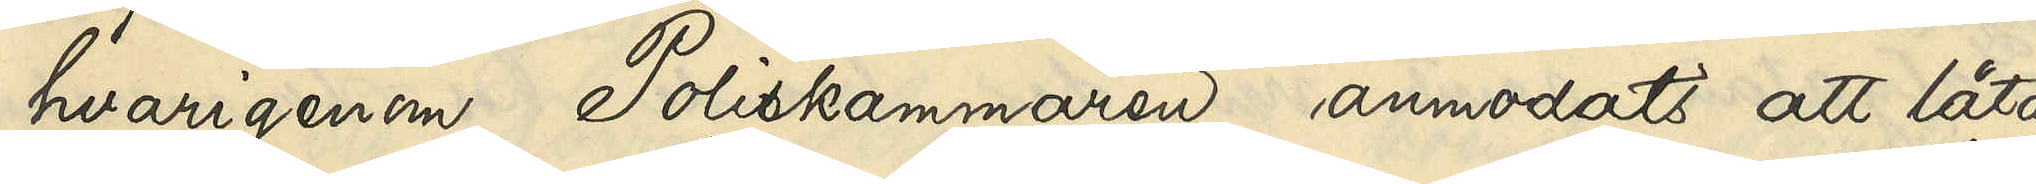hvarigenom Poliskammaren anmodats att låta
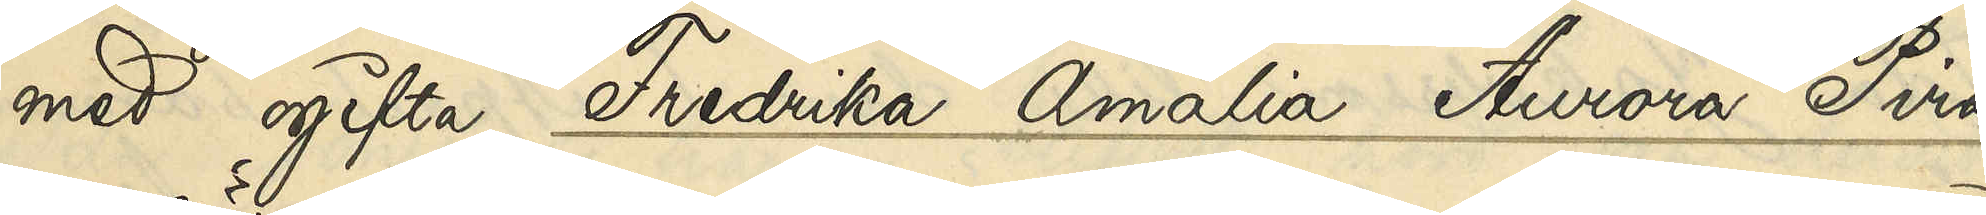med ogifta Fredrika Amalia Aurora Pira
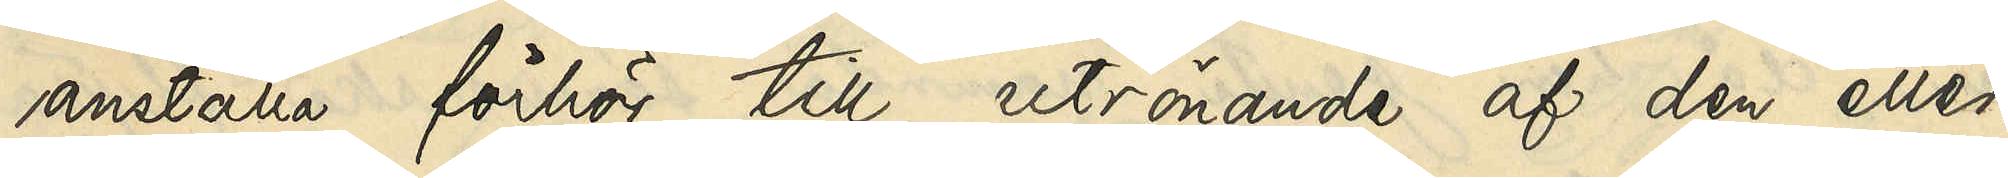anställa förhör till utrönande af den eller
